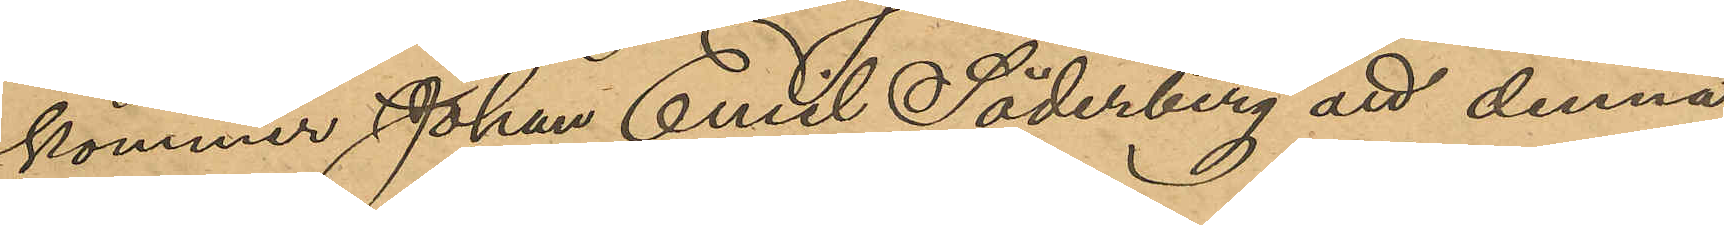kommer Johan Emil Söderberg att denna
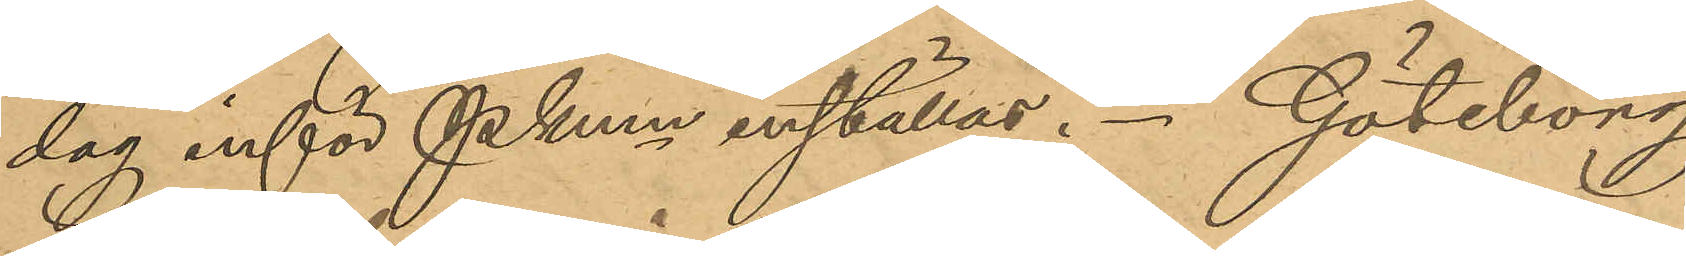dag inför Pkmn inställas. Göteborg
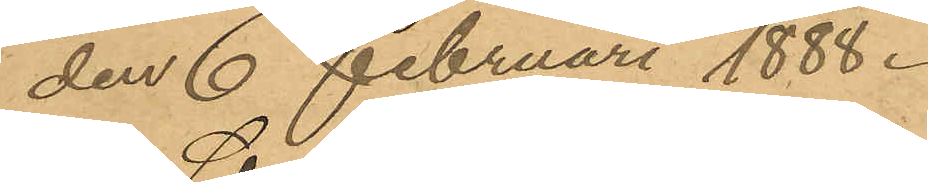den 6 Februari 1888.
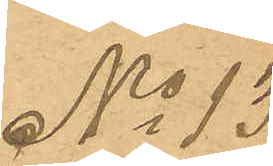No  13
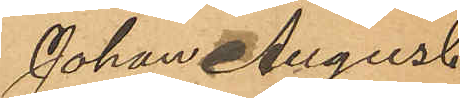Johan August
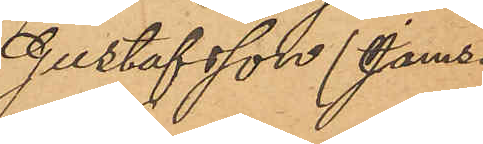Gustafsson (Jamsa)
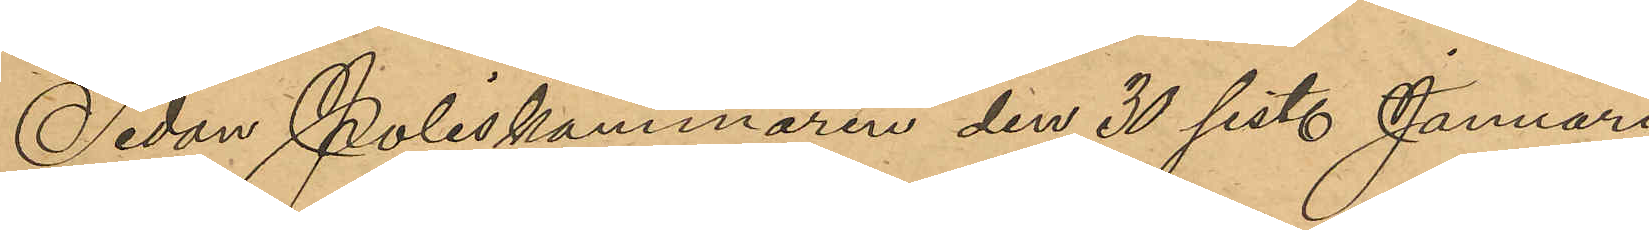Sedan Poliskammaren den 30 sist. Januari
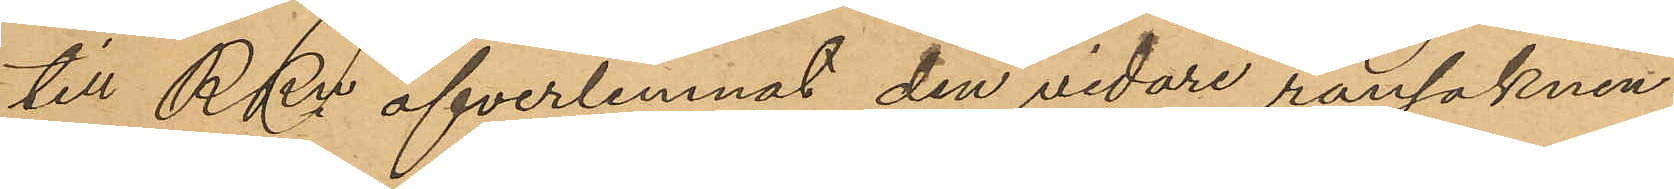till RRn öfverlemnat den vidare ransaknin¬
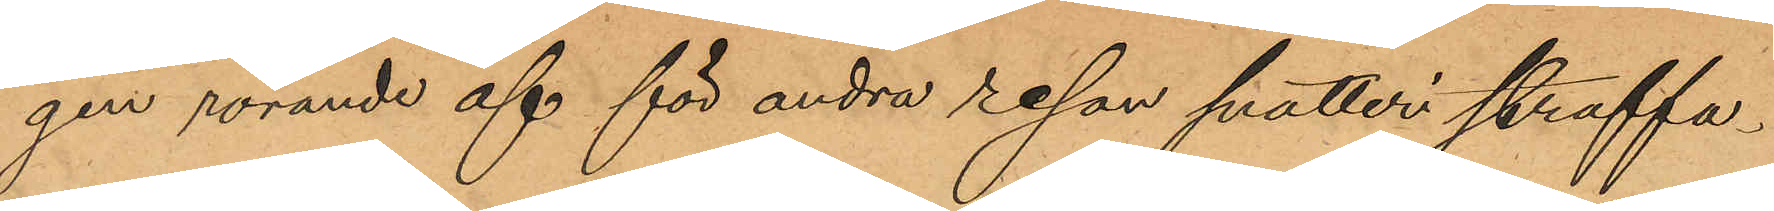gen rörande af för andra resan snatteri straffa¬
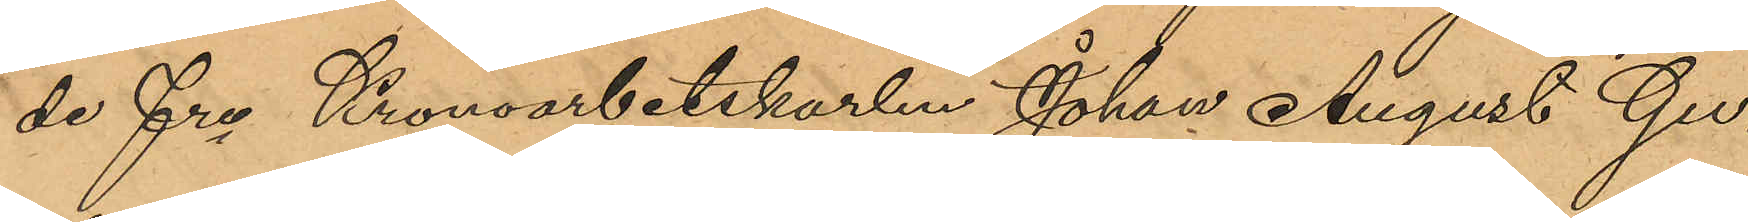de fre Kronoarbetskarlen Johan August Gu¬
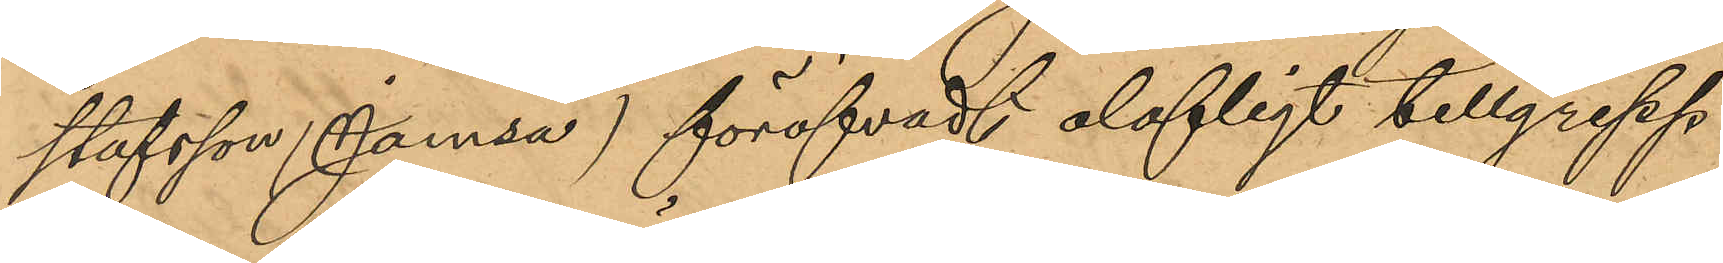stafsson (Jamsa) föröfvadt olofligt tillgrepp
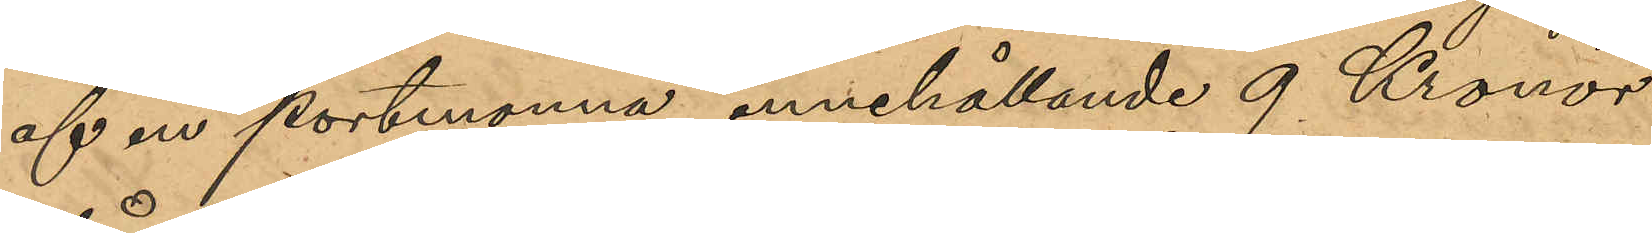af en portmonnä, innehållande 9 Kronor
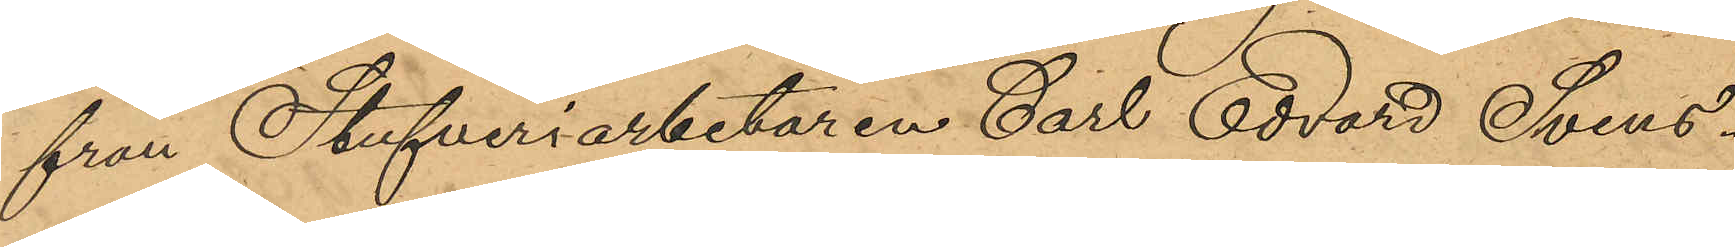från Stufveriarbetaren Carl Edvard Svens¬
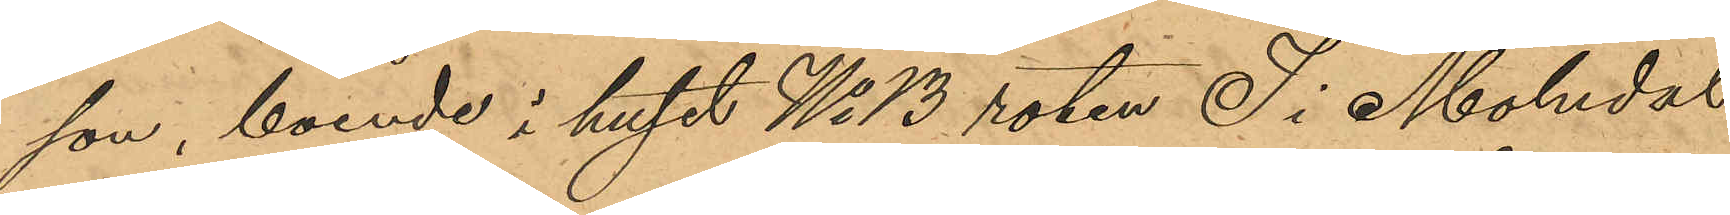son, boende i huset No 13 roten 7 i Molndal,
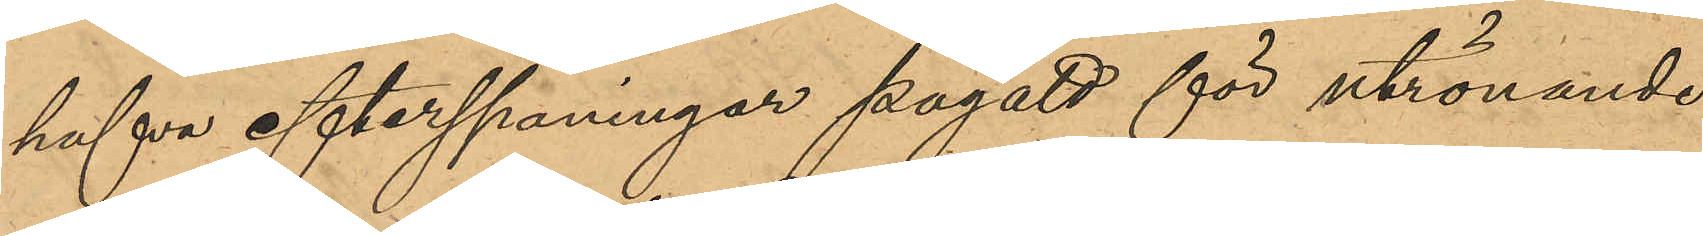hafva efterspaningar pågått för utrönande
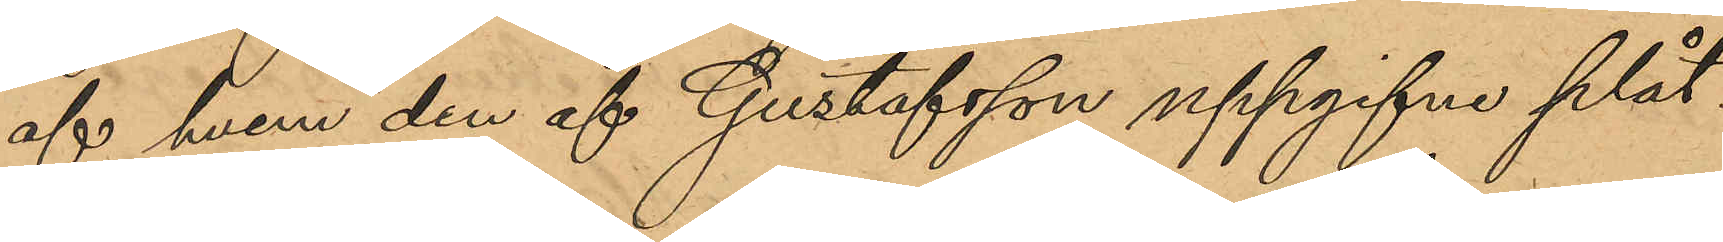af hvem den af Gustafsson uppgifne plåt¬
